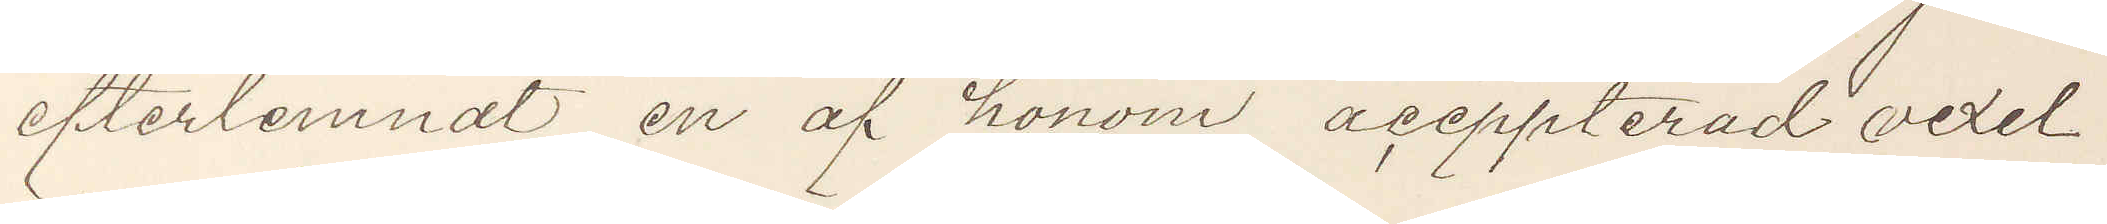efterlemnat en af honom aceppterad vexel
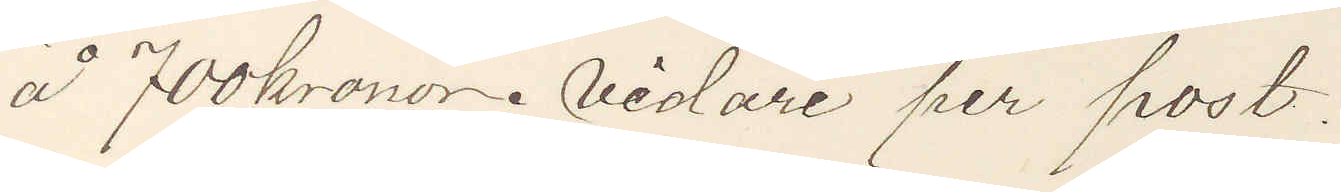å 700 kronor. vidare per post.
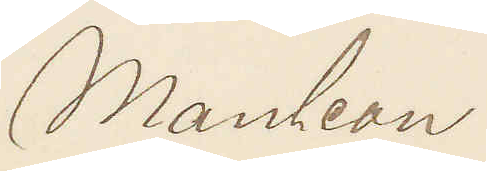Mauleon
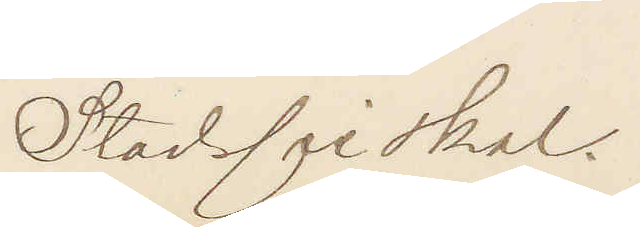Stadsfiskal.
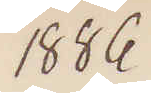1886
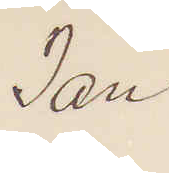Jan.
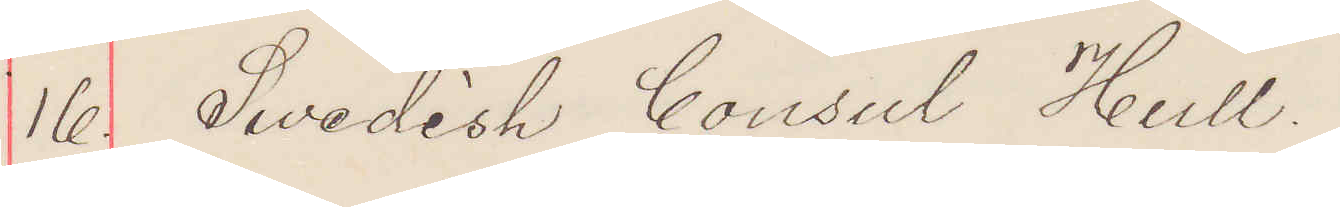16. Swedish Consul Hull.
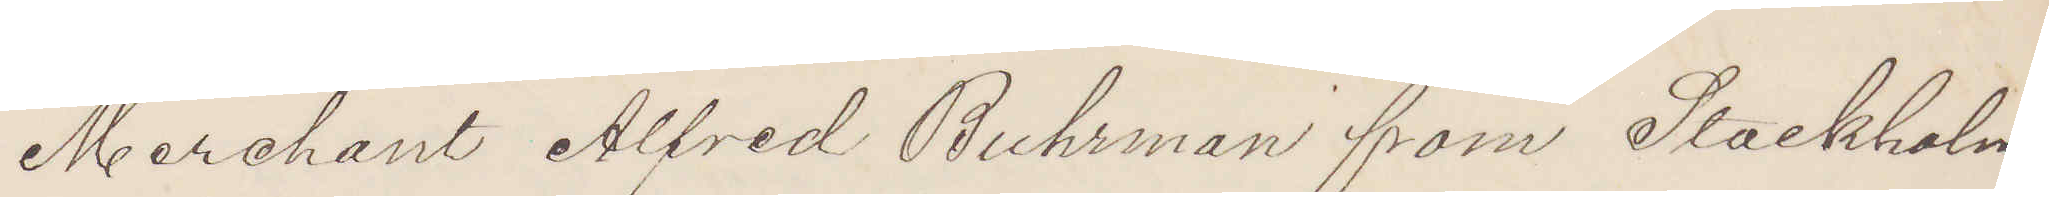Merchant Alfred Buhrman from Stockholm
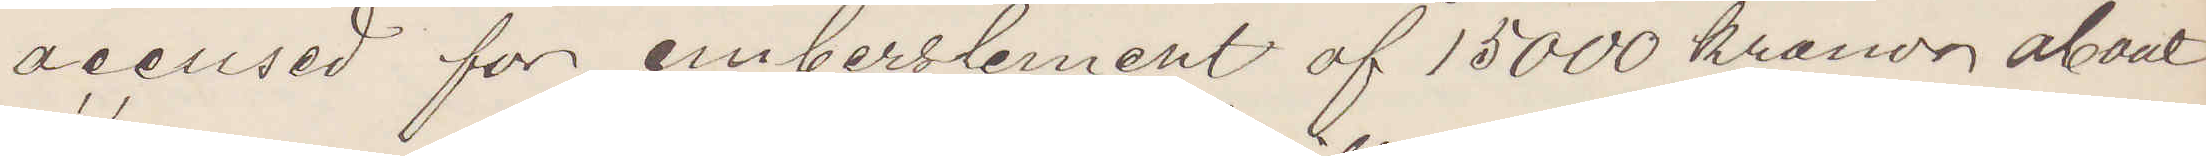accused för emberslement af 15000 kronor about
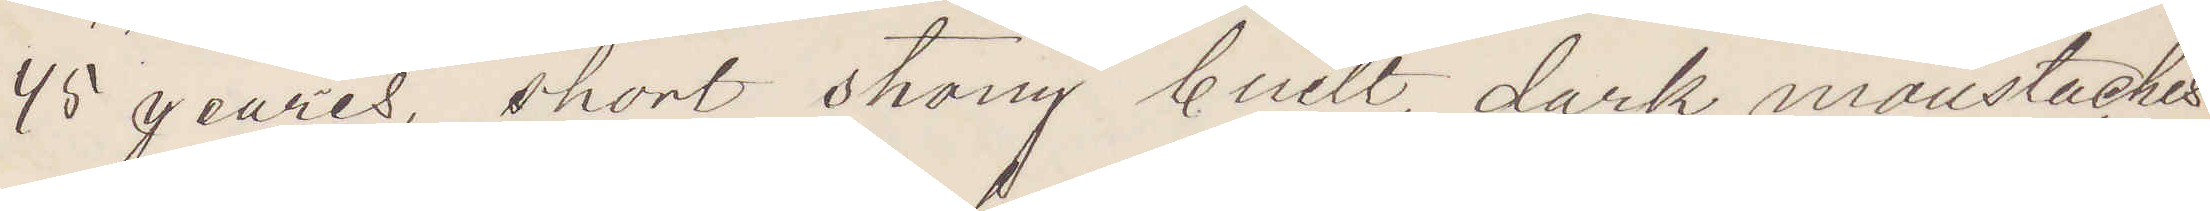45 years, short strong built, dark moustaches,
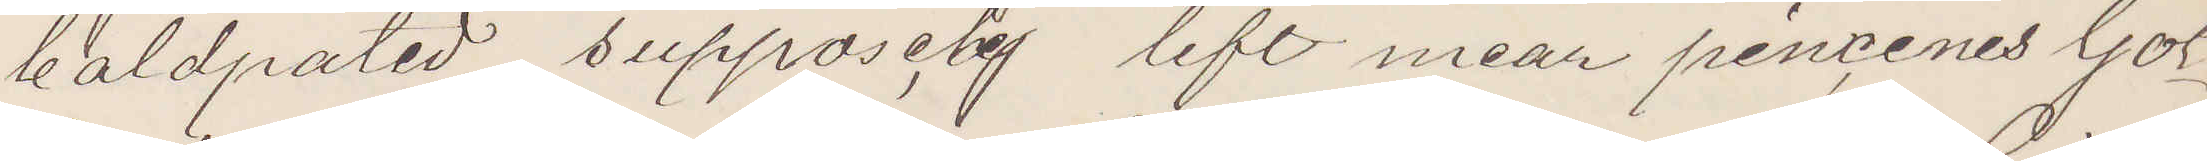baldpated supposely left mear pincenes Got¬
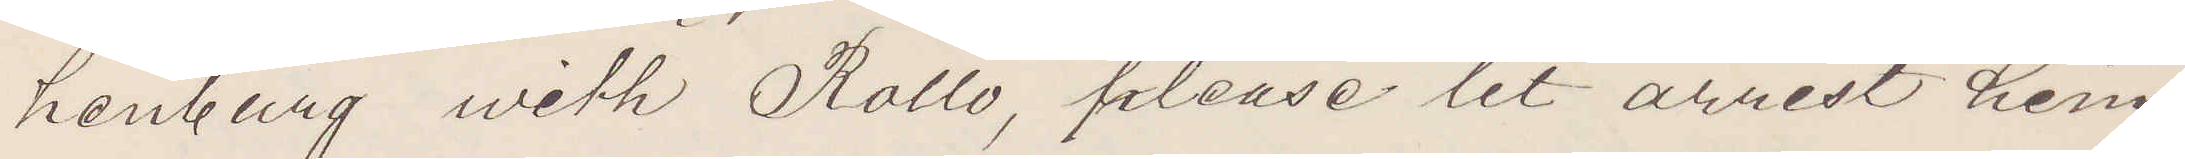henburg with Rollo, please let arrest him
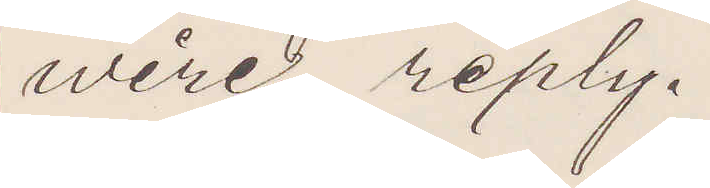wire reply.
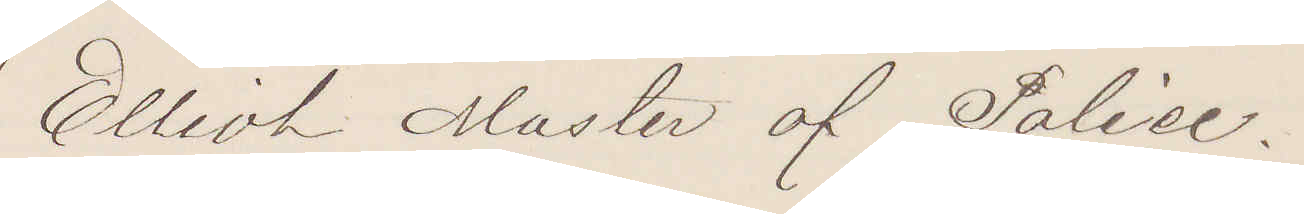Elliot Master af Police.
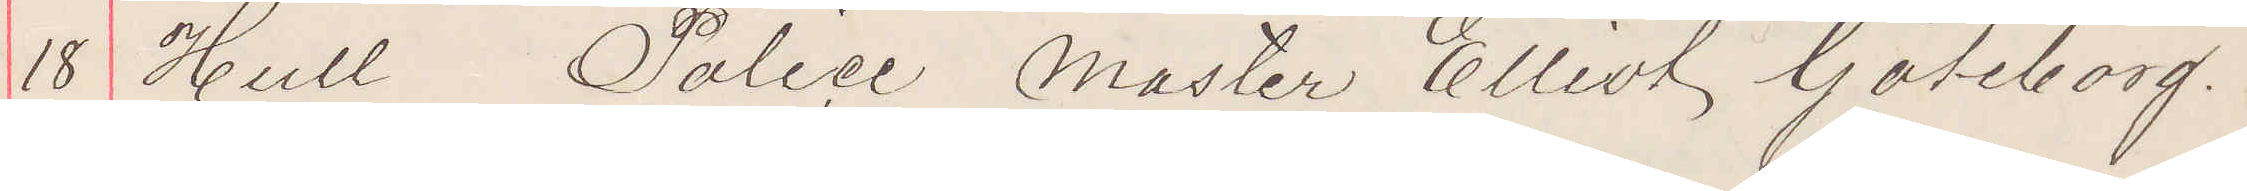18 Hull Police Master Elliot Göteborg.
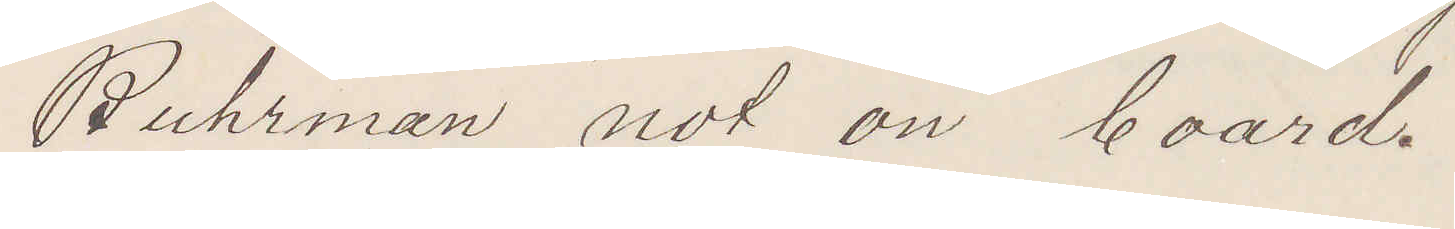Buhrman not on board.
